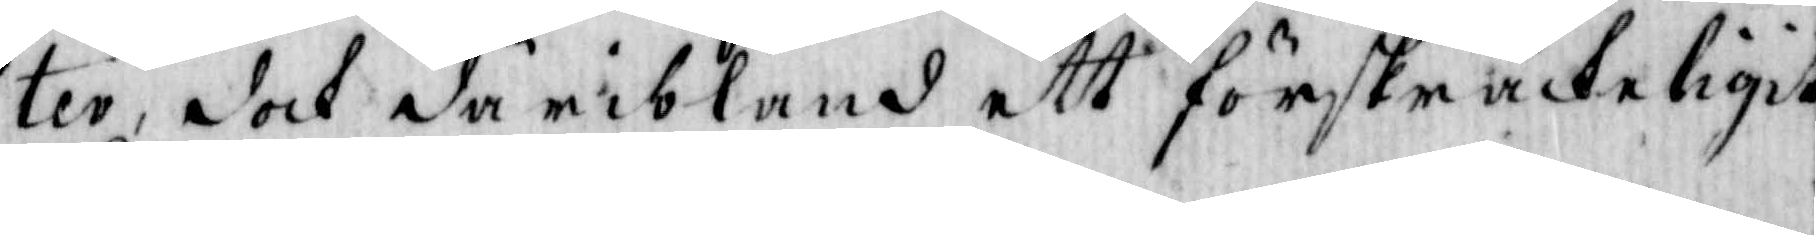ter, doch däribland ett förskräckeligit
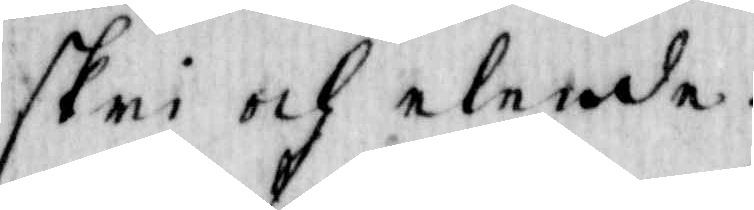skri och elende.
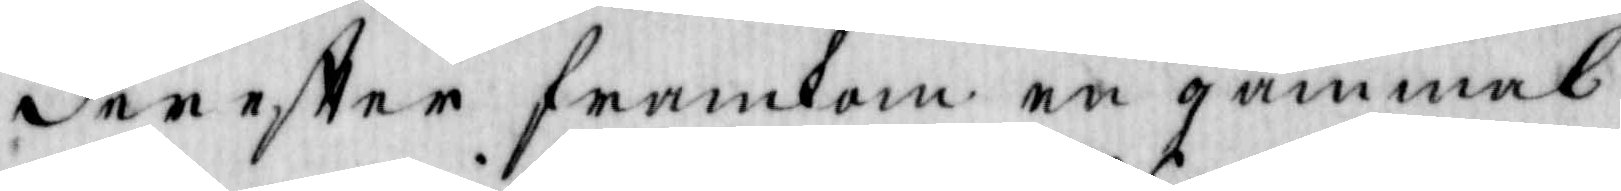dereftter framkom en gammal
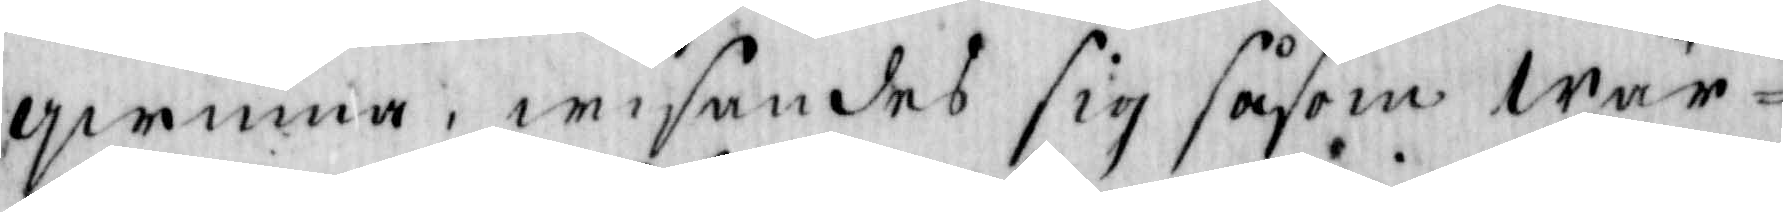qwinna, wisandes sig såsom wär¬
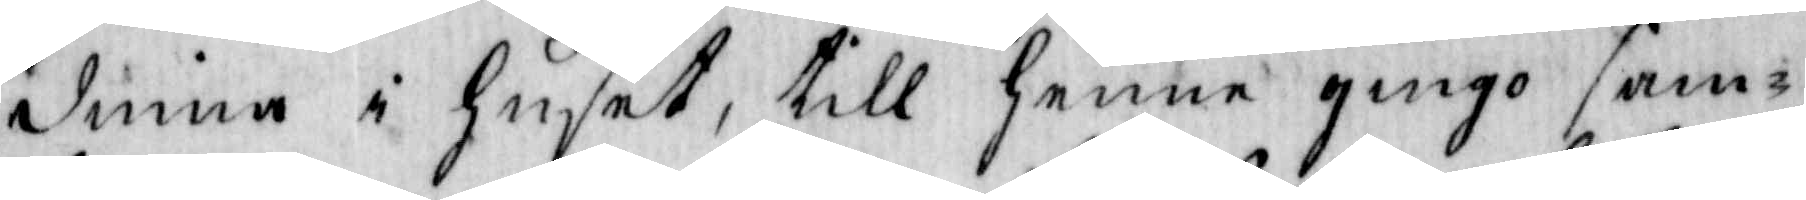dinna i Huset, till henne gingo sam¬
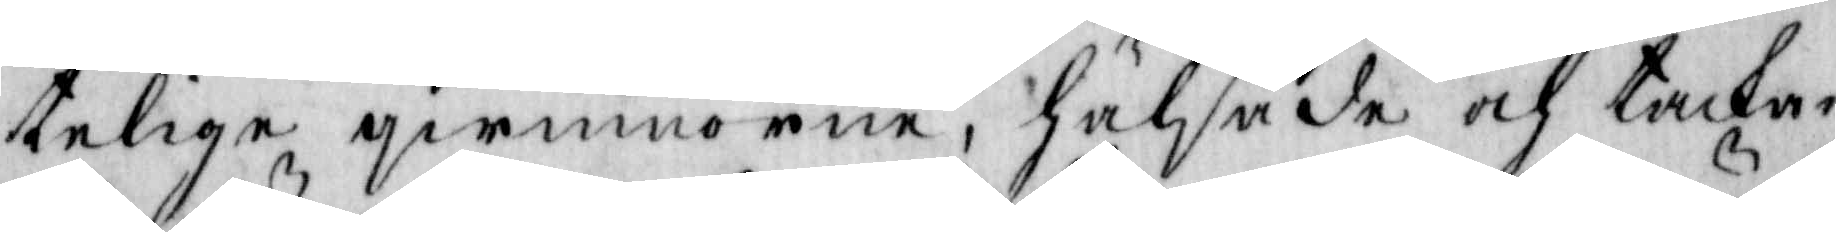telige qwinnorne, hälsade och tacka¬
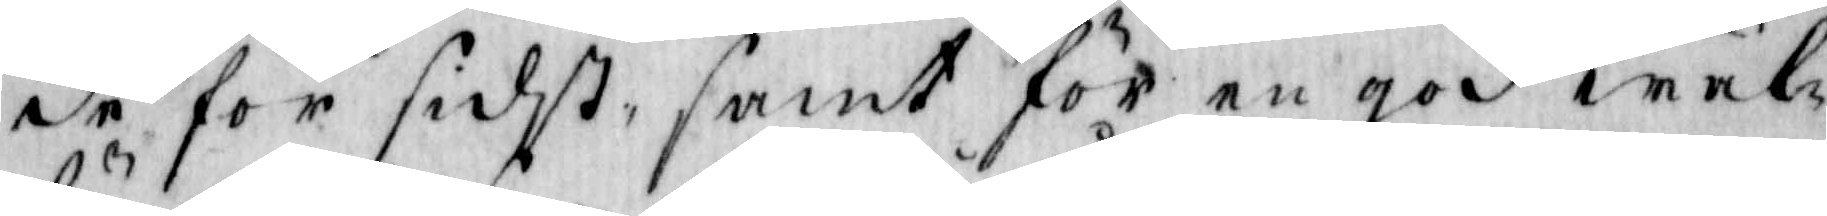de för sidst, samt för en god wäl¬
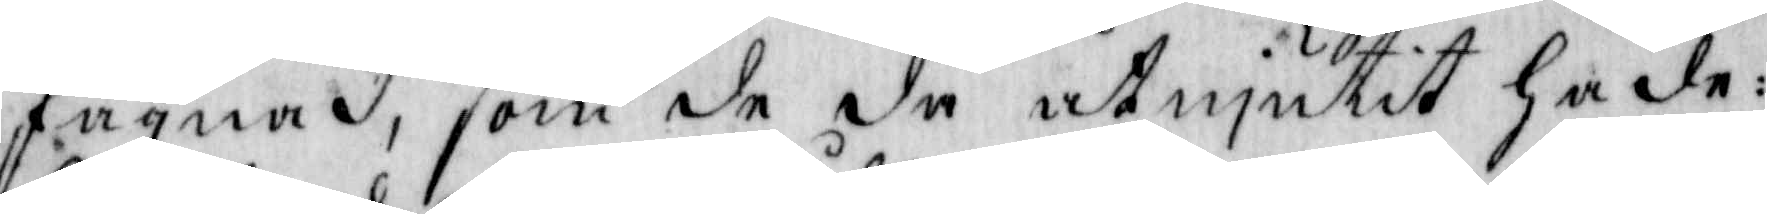fägnad, som de då åtnjutit hade:
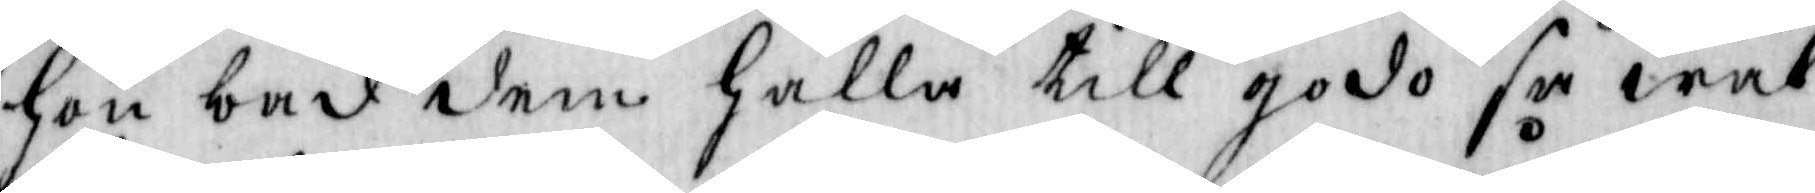hon bad dem hålla till godo så wäl
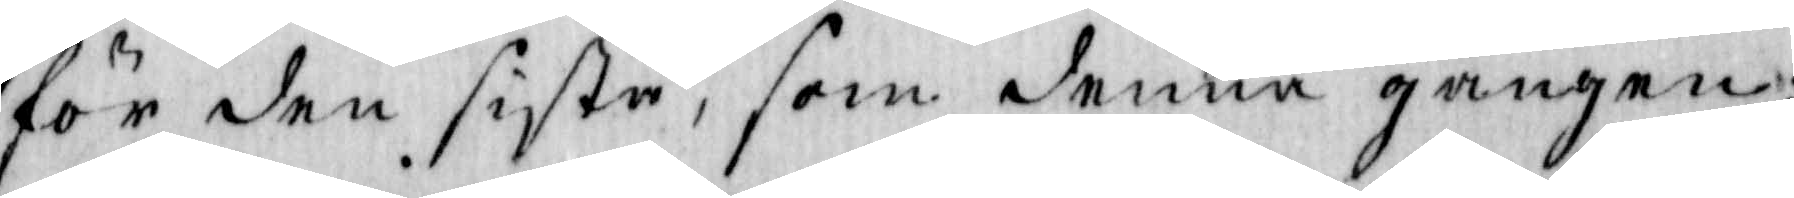för den siste, som denna gången
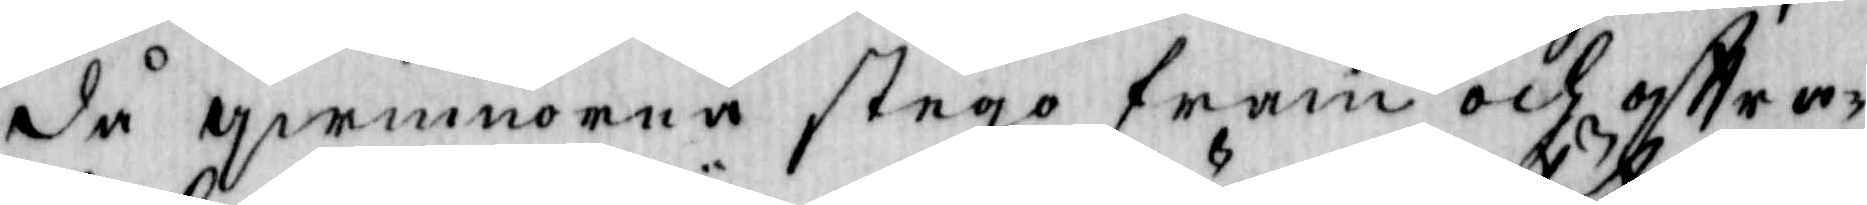då qwinnorna stego fram och oftra¬
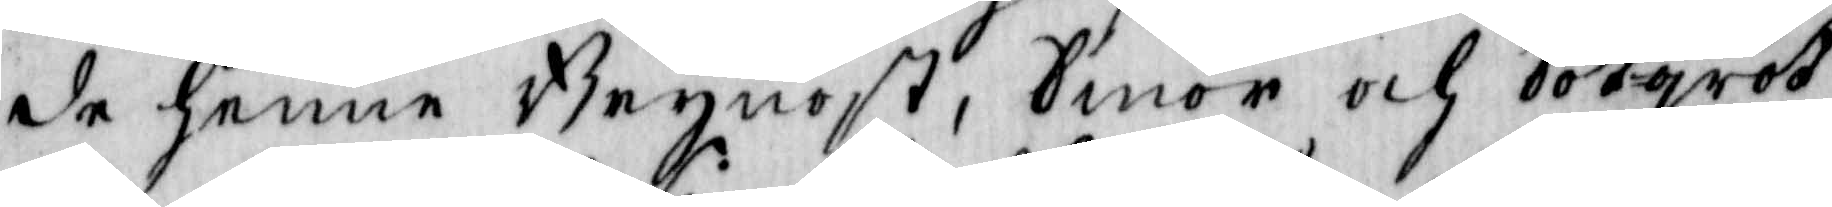de henne Brynnost, Smör och Sötgröt
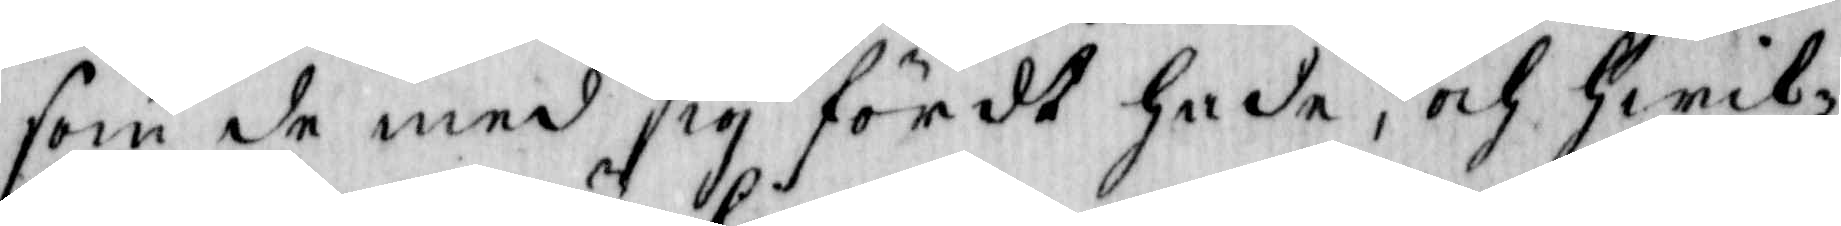som de med sig fördt hade, och hwil¬
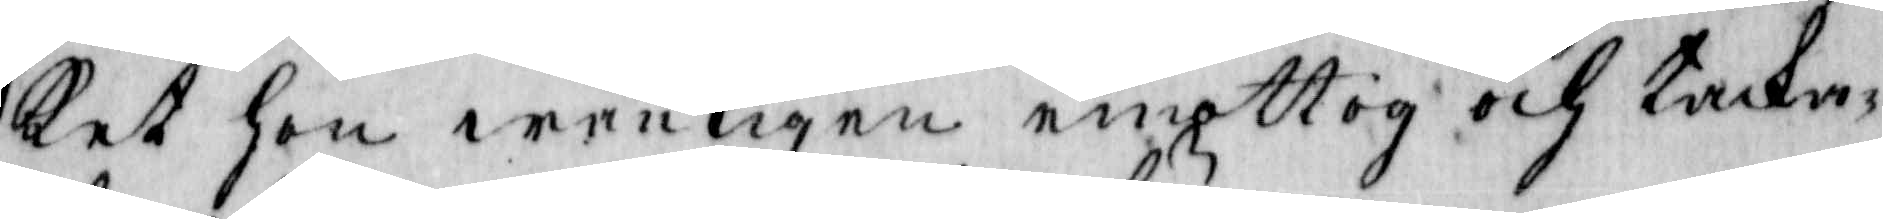ket hon wänligen emottog och tacka¬
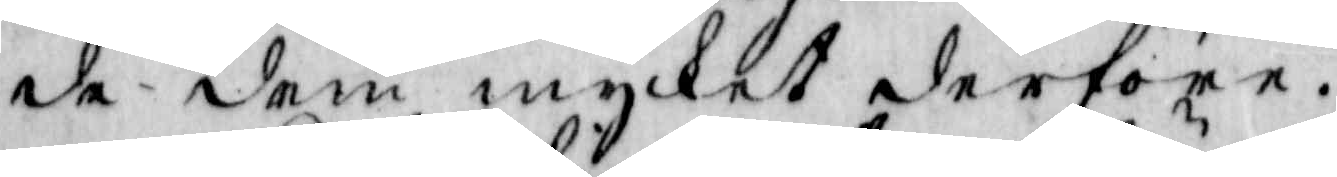de dem mycket derföre.
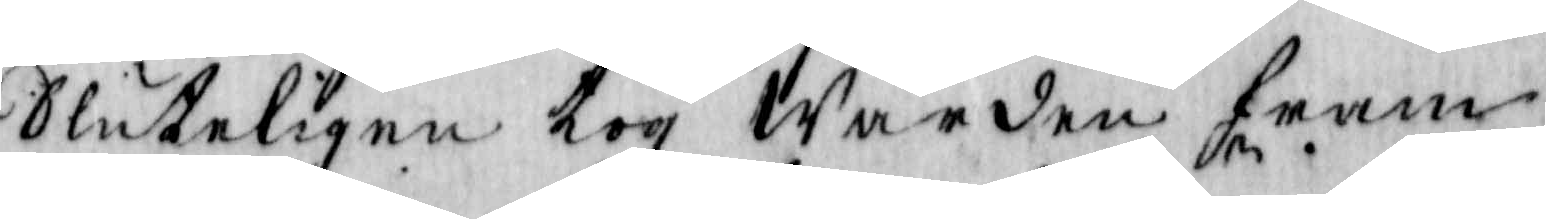Sluteligen tog Wärden fram
